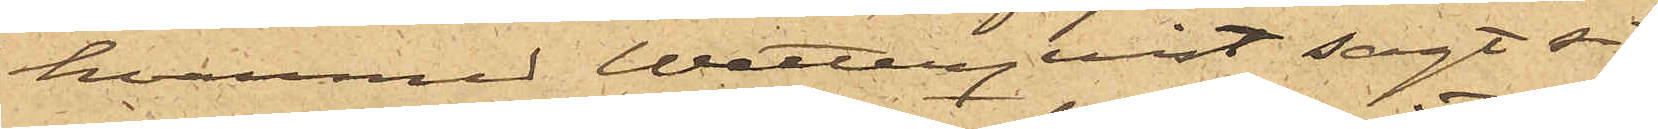hvarmed Wetterquist sagt sig
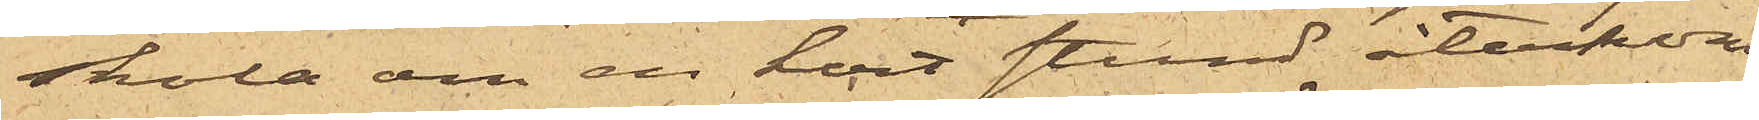skola om en kort stund återkom¬
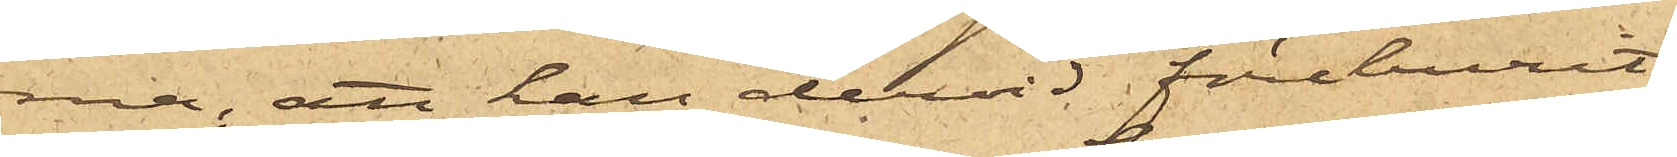ma; att han dervid föreburit
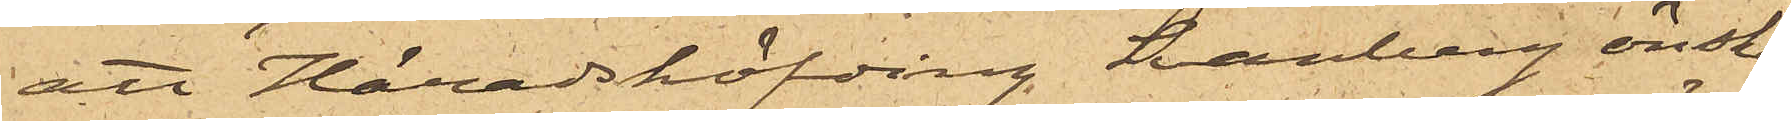att Häradshöfding Svanberg önska¬
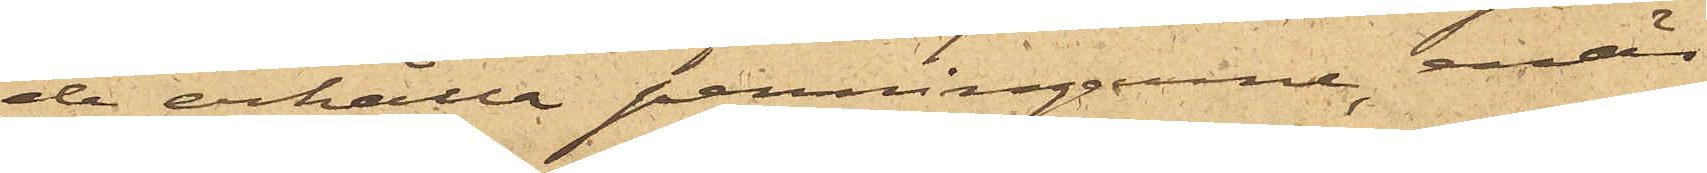de erhålla penningarne, enär
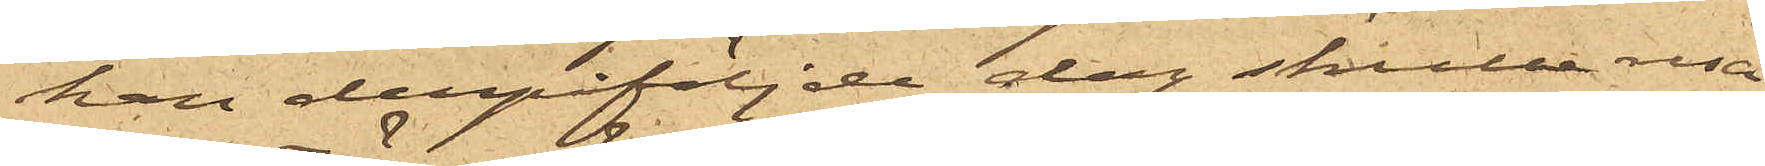han derpåföljde dag skulle resa
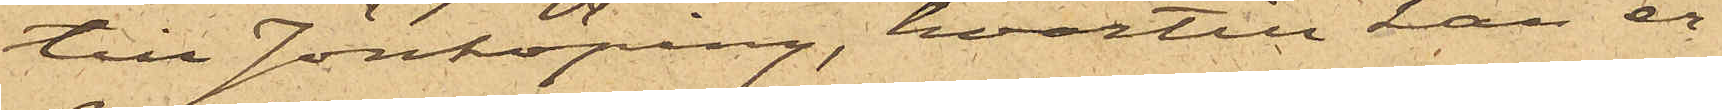till Jönköping, hvartill han er¬
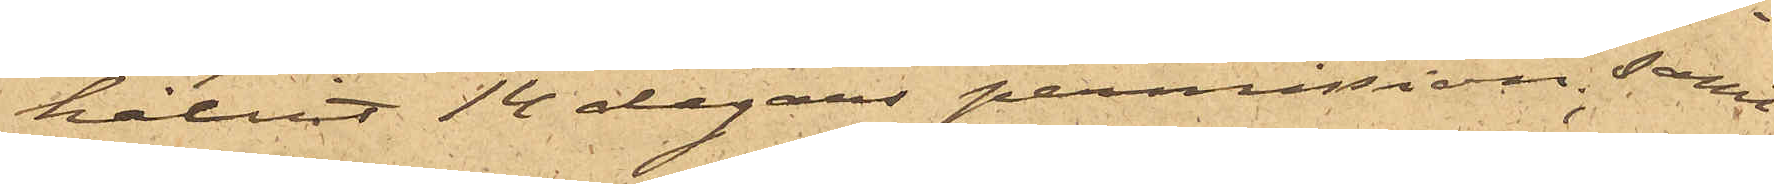hållit 14 dagars permission, samt
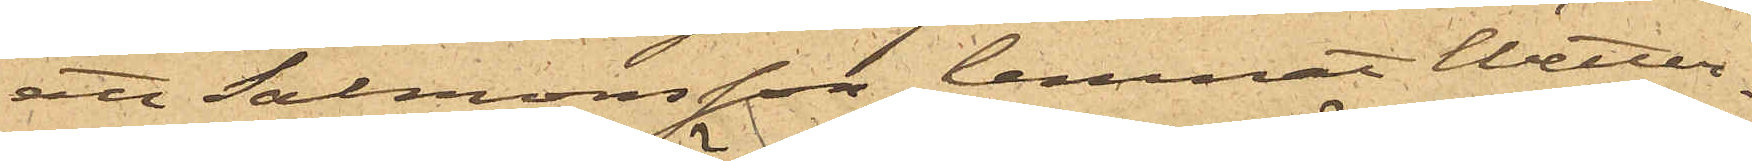att Salmonsson lemnat Wetter¬
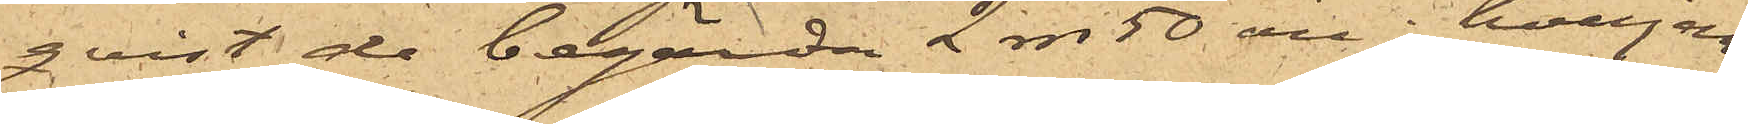qvist de begärde 2 rdr 50 öre,  hvarjem¬
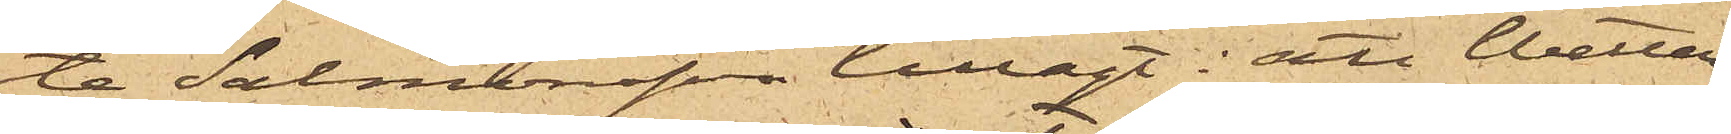te Salmonsson tillagt: att Wetter¬
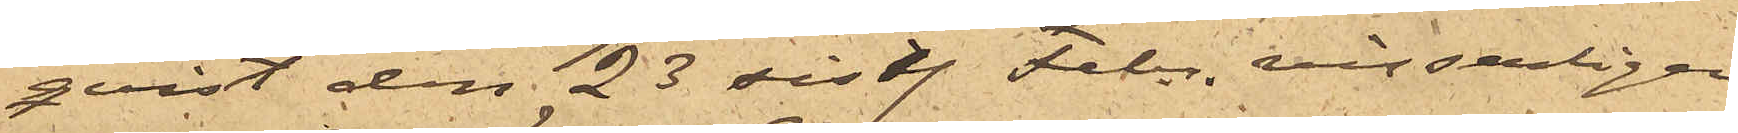qvist den 23 sist. Febr. visserligen
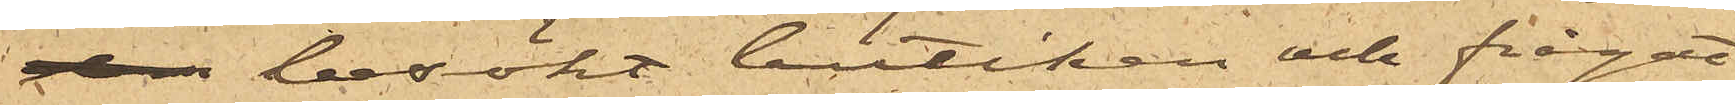 besökt butiken och frågat
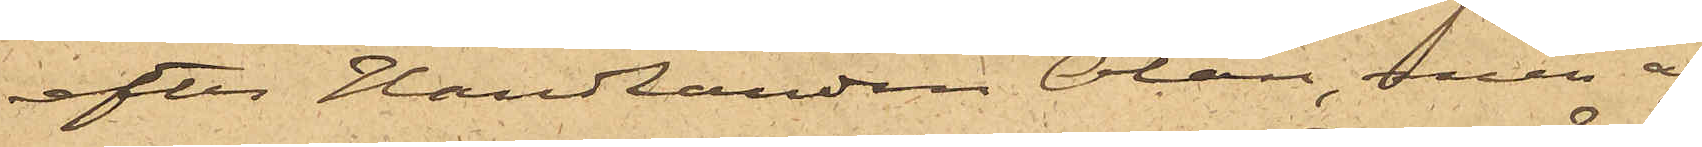efter handlanden Olán, men ej
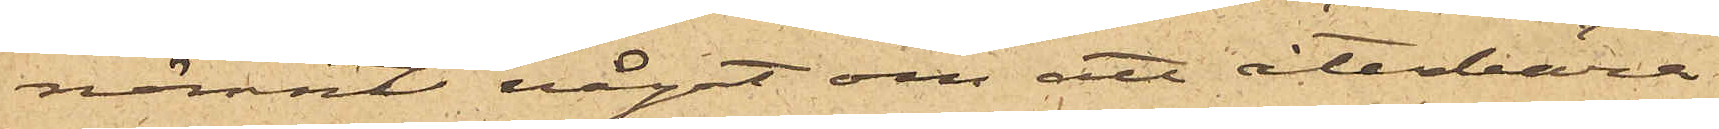nämnt något om att återbära
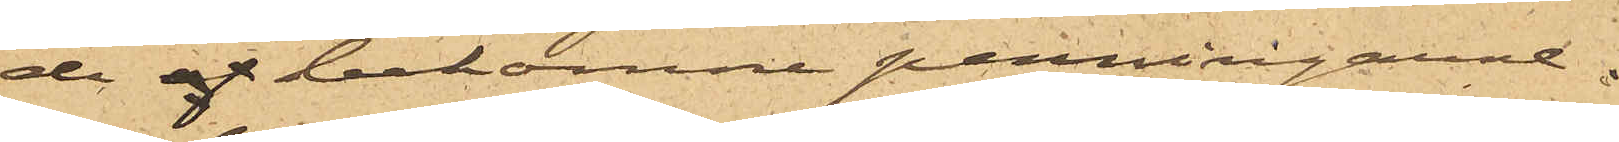de af bekomne penningarne.
